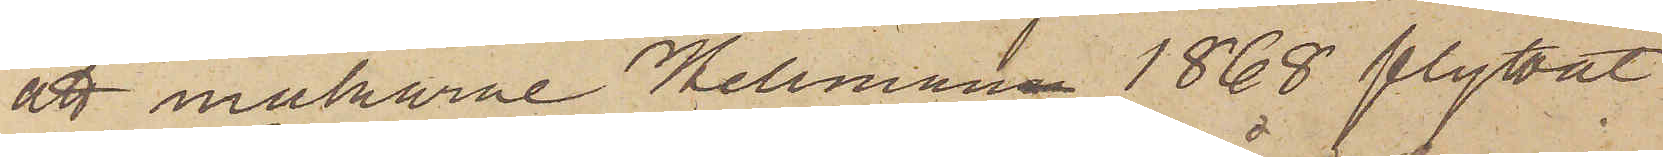att makarne Hellman 1868 flyttat
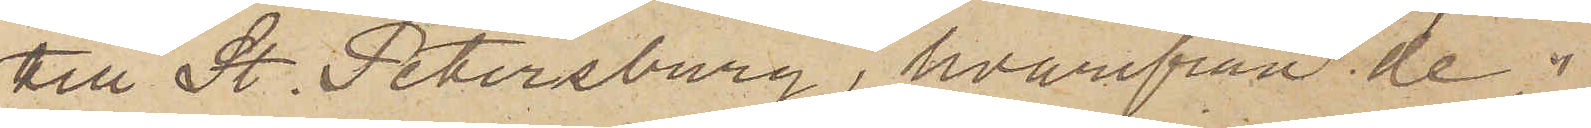till St. Petersburg, hvarifrån de i
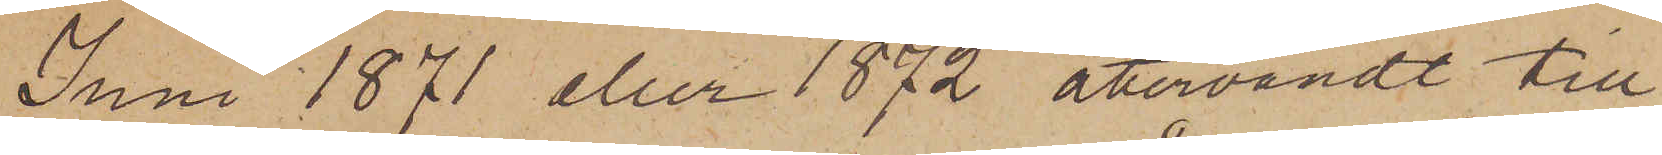Juni 1871 eller 1872 återvändt till
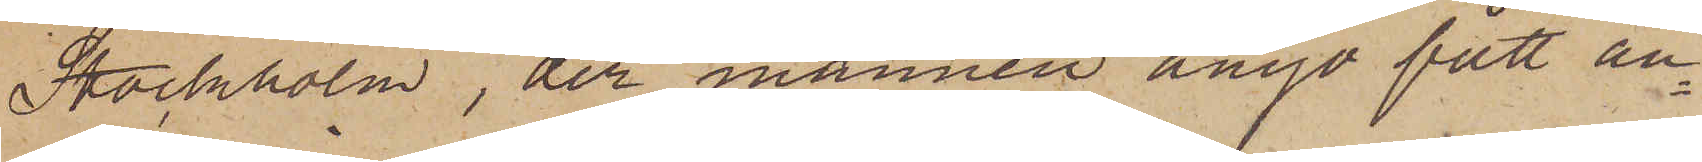Stockholm, der mannen ånyo fått an¬
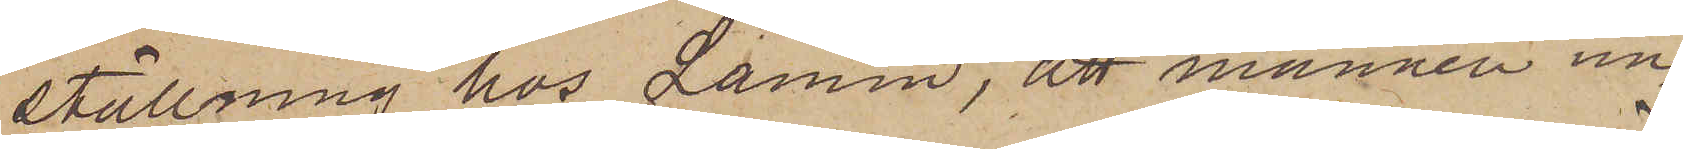ställning hos Lamm, att mannen un¬
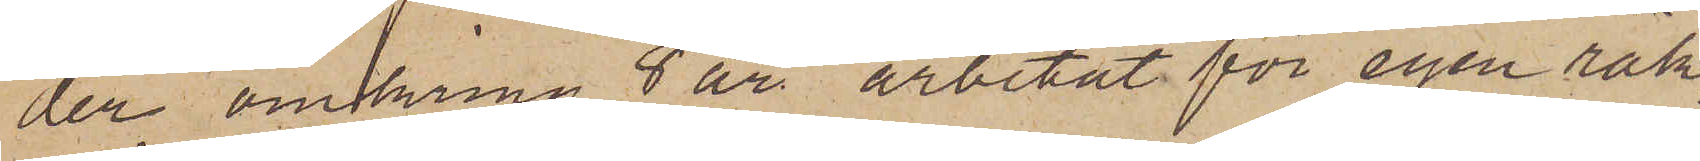der omkring 8 år arbetat för egen räk¬
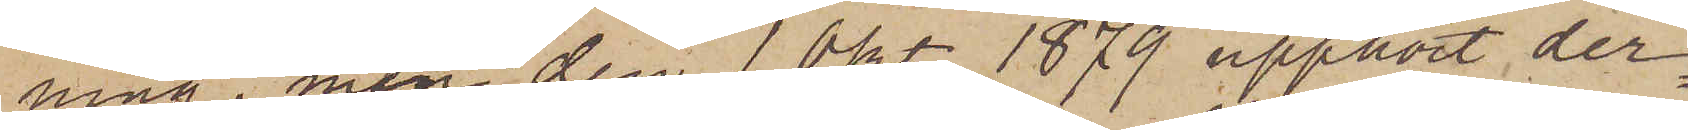ning, men den 1 Okt 1879 upphört der¬
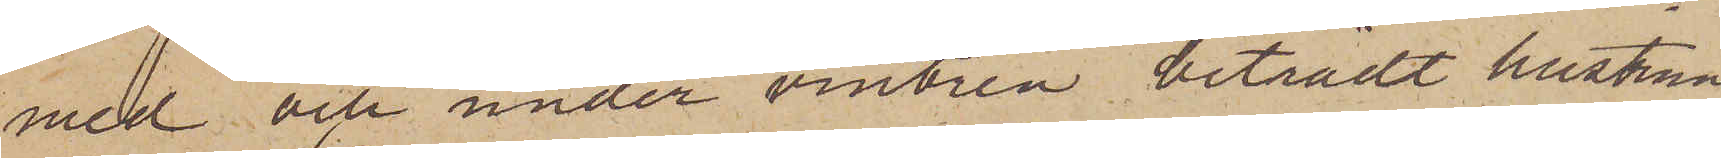med och under vintern biträdt hustrun
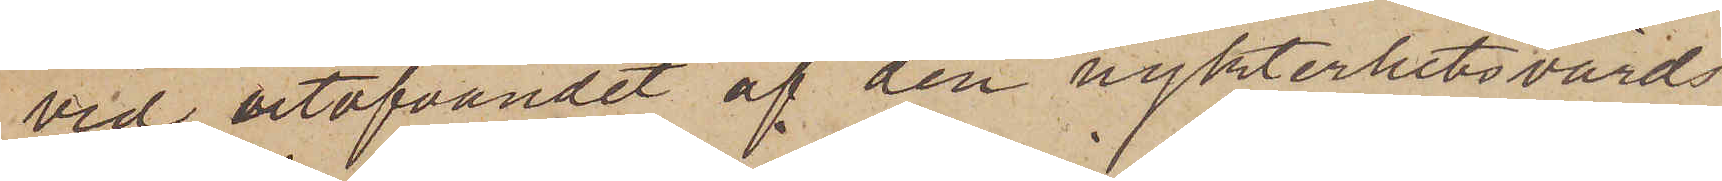vid utöfvandet af den nykterhetsvårds
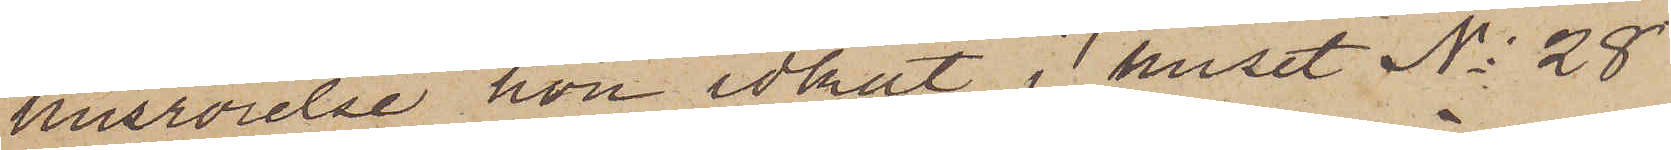husrörelse hon idkat i huset No 28
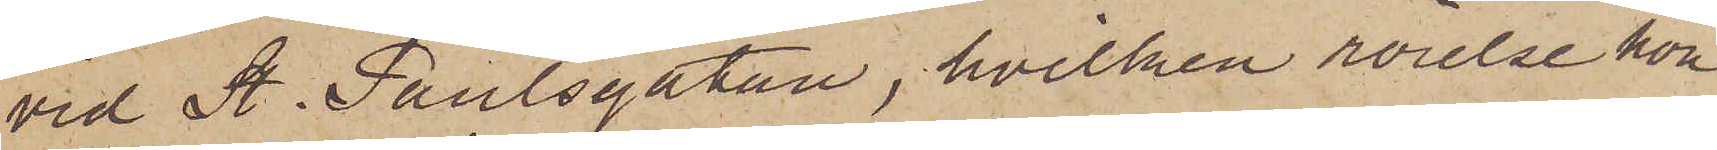vid St. Paulsgatan, hvilken rörelse hon
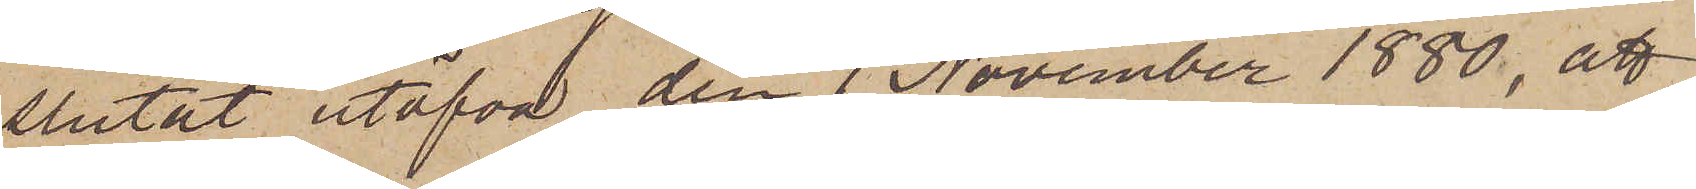slutat utöfva den 1 November 1880, att
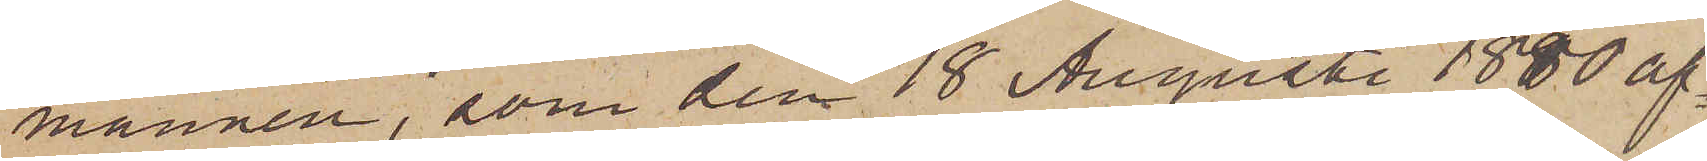mannen, som den 18 Augusti 1880 af¬
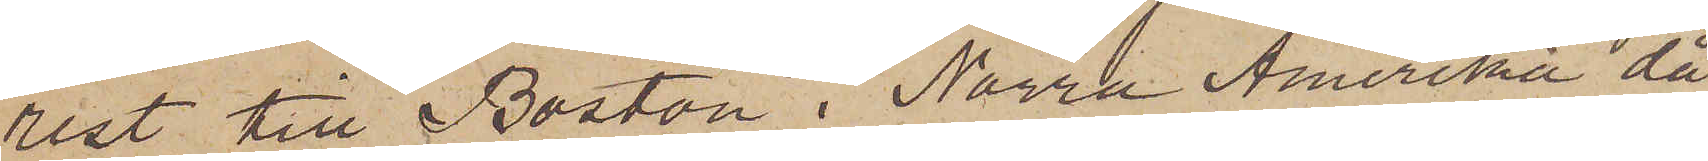rest till Boston i Norra Amerika då
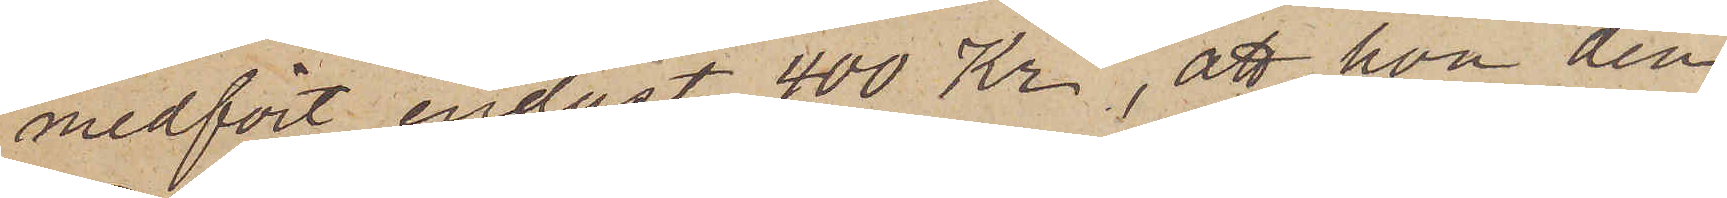medfört endast 400 Kr, att hon den
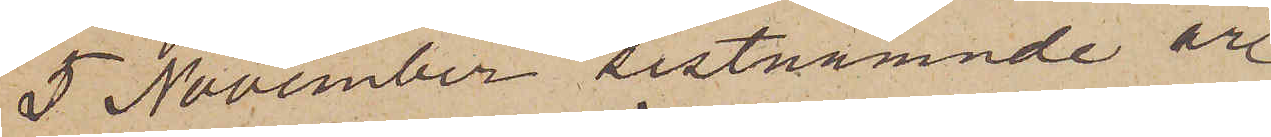5 November sistnämnde år
